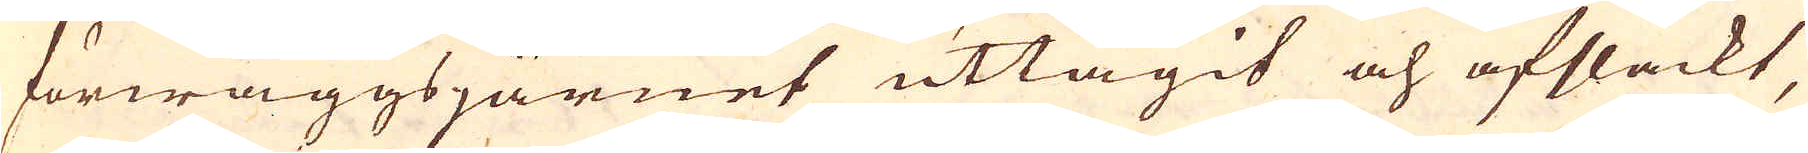förwäggsjärnet uttagit och afsläckt,
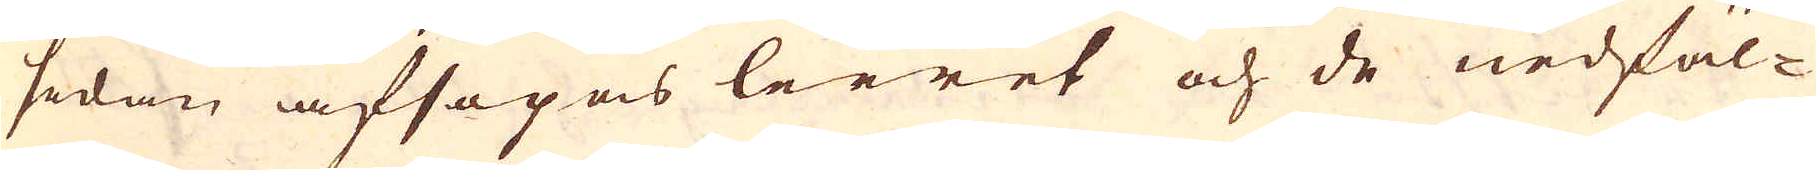sedan afsopas leeret och de nedfäl-
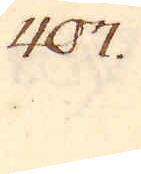407.
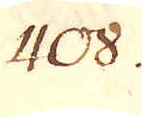408.
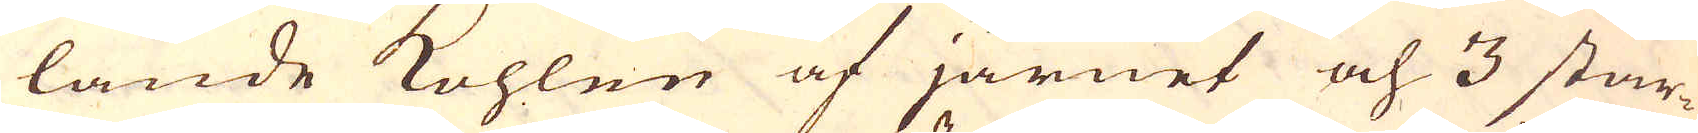lande kohlen af järnet och 3 star-
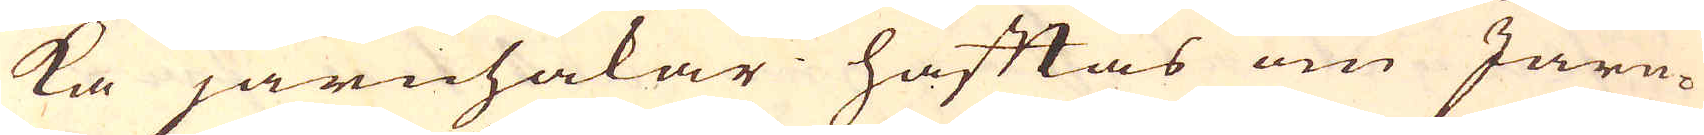ka järnhakar häftas om Järn-
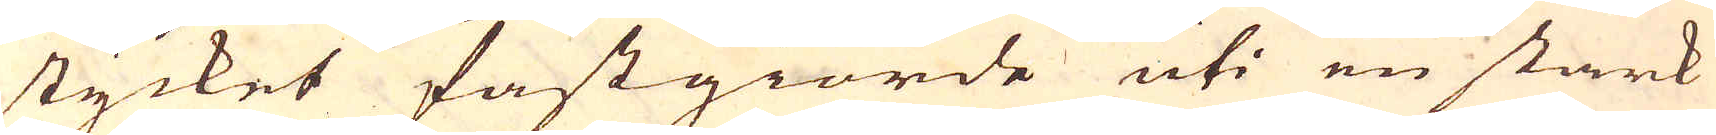stycket fastgiorde uti en stark
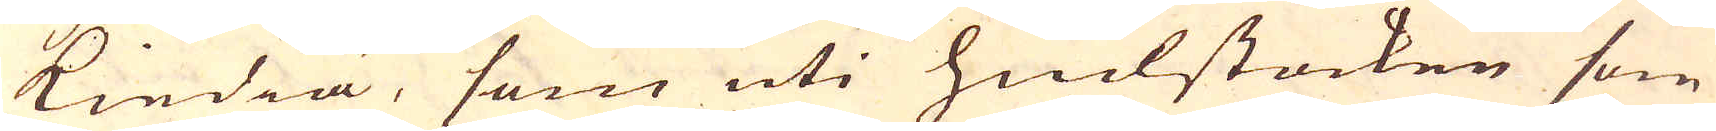kiedia, som uti hiulstocken som
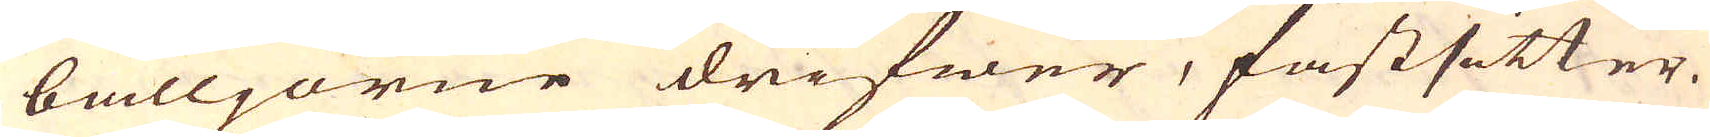bälljorne drifwer, fastsitter.
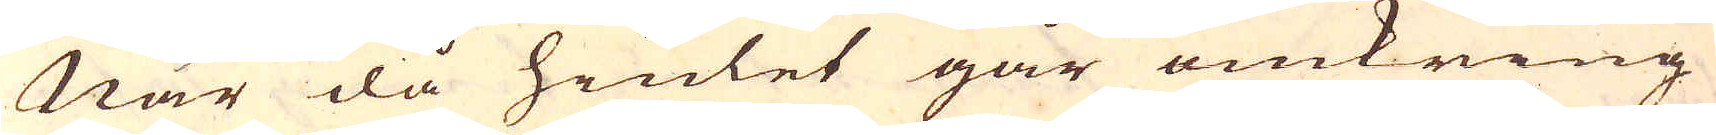När då hiulet går omkring
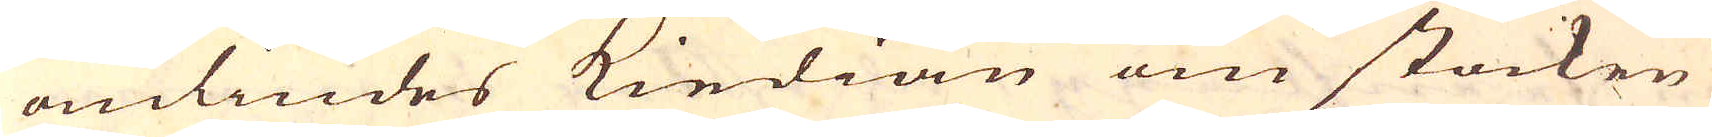omlindes kiedian om stocken
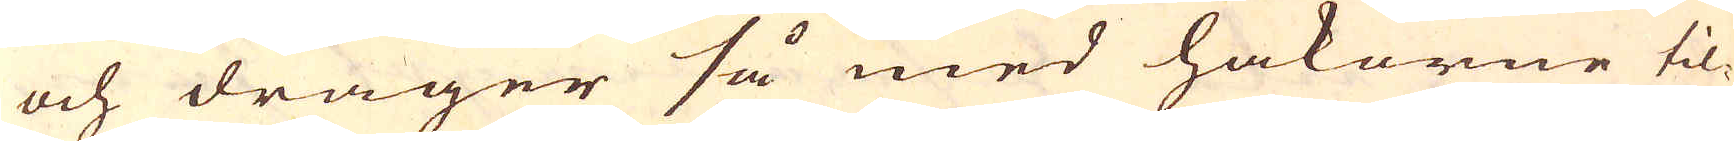och drager så med hakorne til-
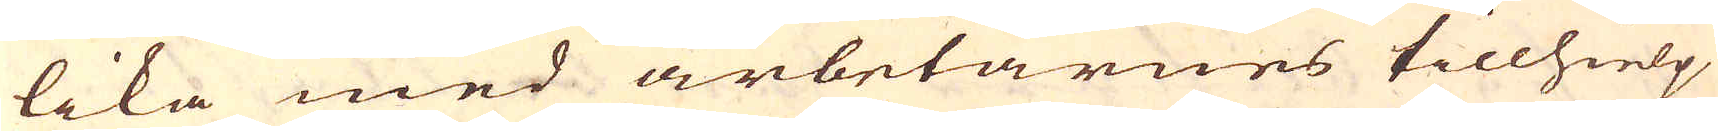lika med arbetarnes tillhielp
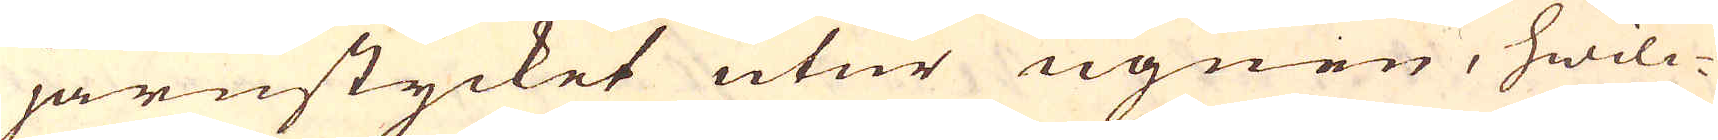järnstycket utur ugnen, hwilc-
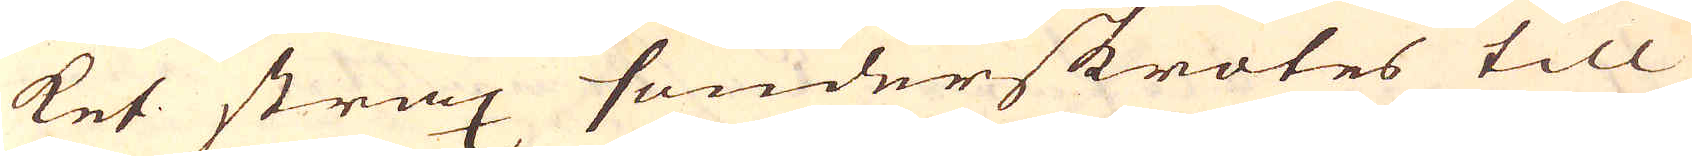ket strax sänderskrotes till
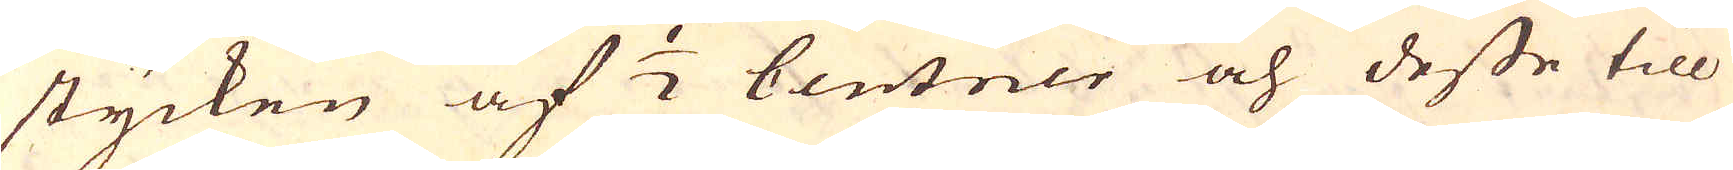stycken af 1/2 Centner och desse till
